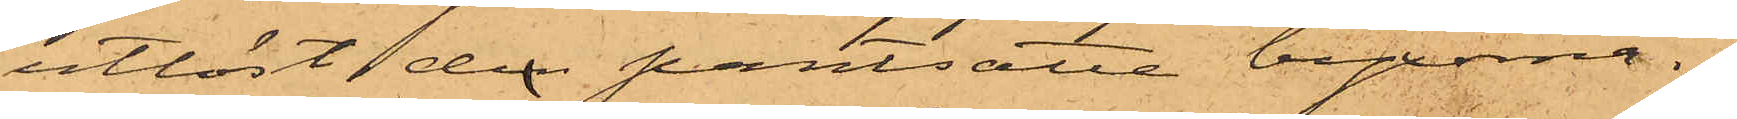utlöst den pantsatte byxorna.
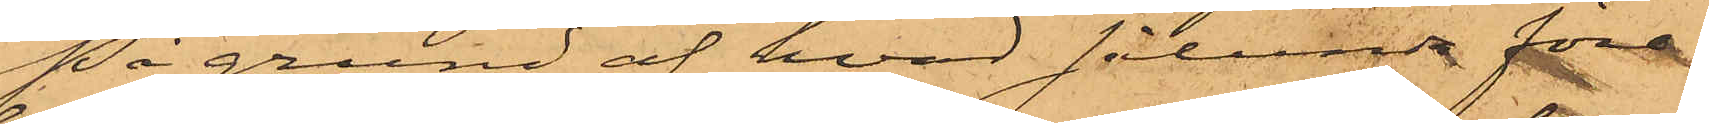På grund af hvad sålunda för¬
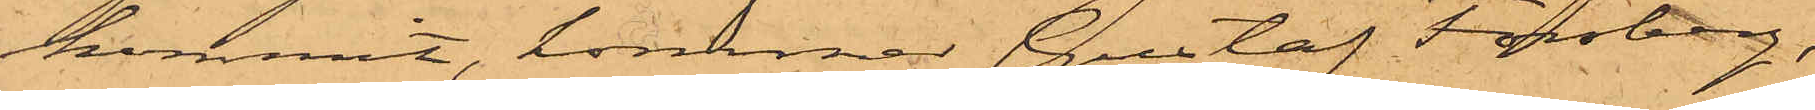kommit, kommer Gustaf Forsberg,
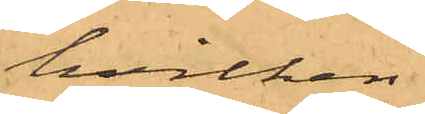hvilken
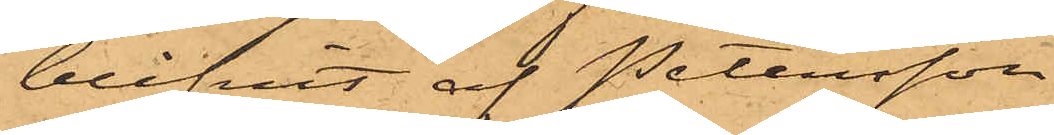blifvit af Petersson
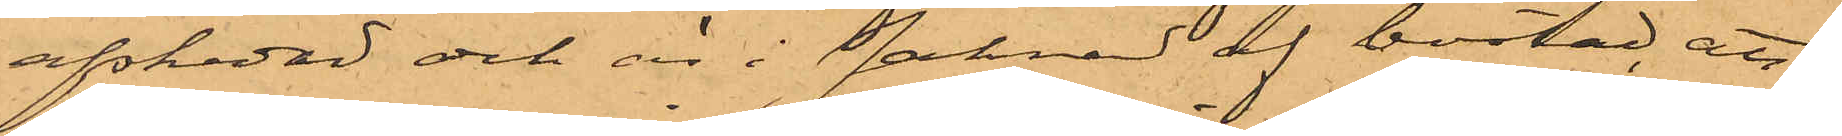afskedad och är i saknad af bostad, att
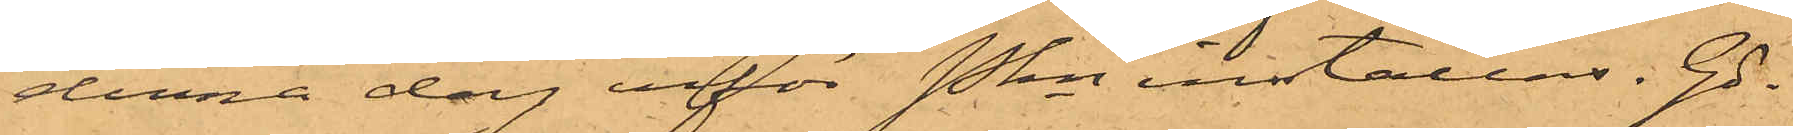denna dag inför Pkn inställas. Gö¬
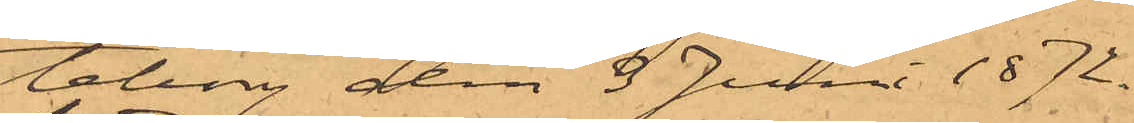teborg den 3 Juni 1872.
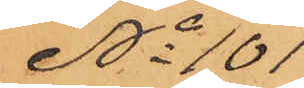No 101
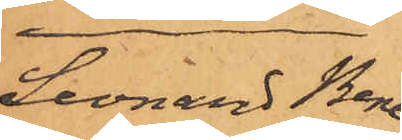Leonard Bene¬
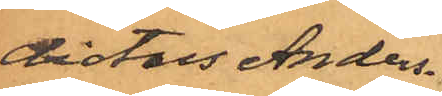dictus Anders¬
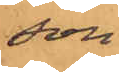son
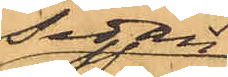Sedan
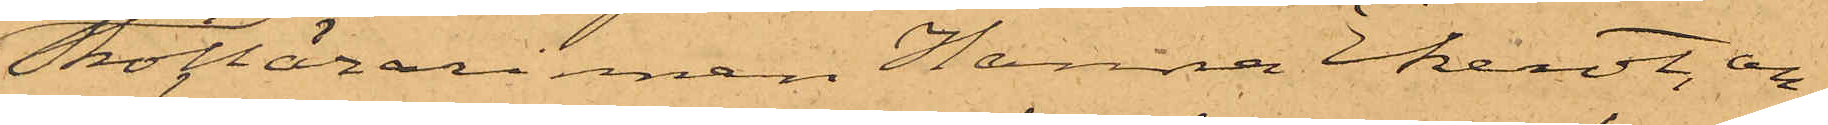Skollärarinnan Hanna Ekerot, an¬
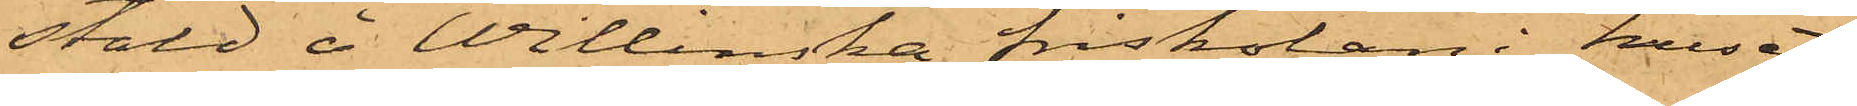stäld å Willinska friskolan i huset
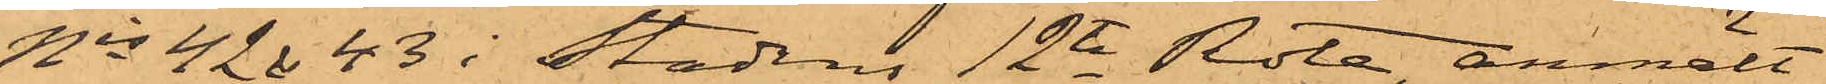Nis 42 & 43 i Stadens 12te Rote, anmält
